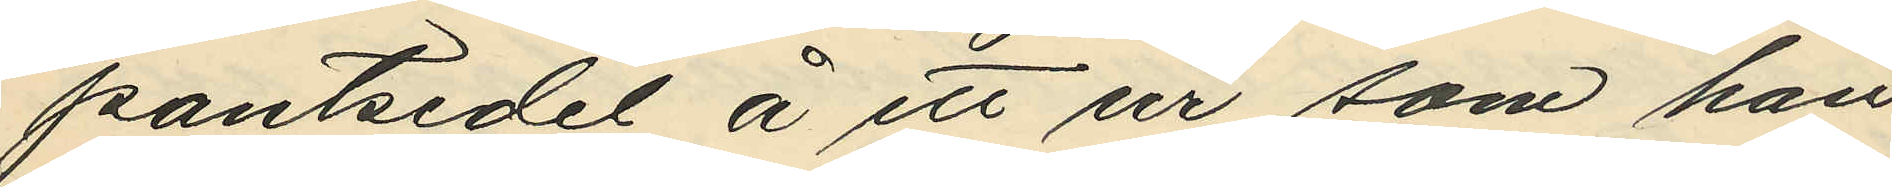pantsedel å ett ur som han
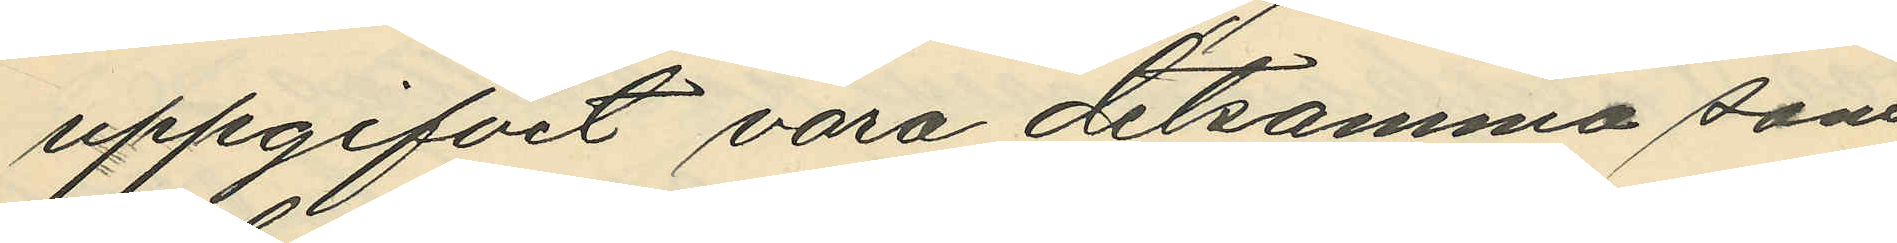uppgifvit vara detsamma som
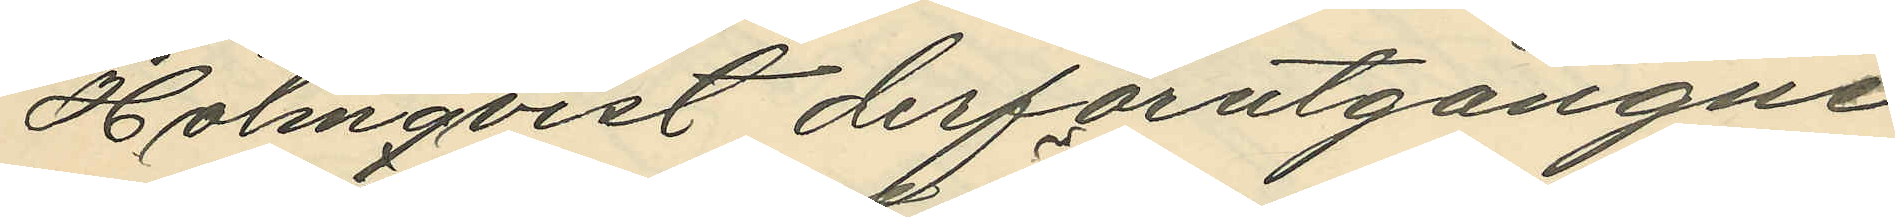Holmqvist derförutgångne
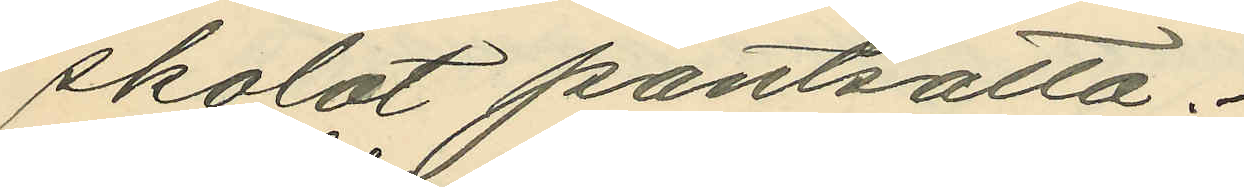skolat pantsätta.
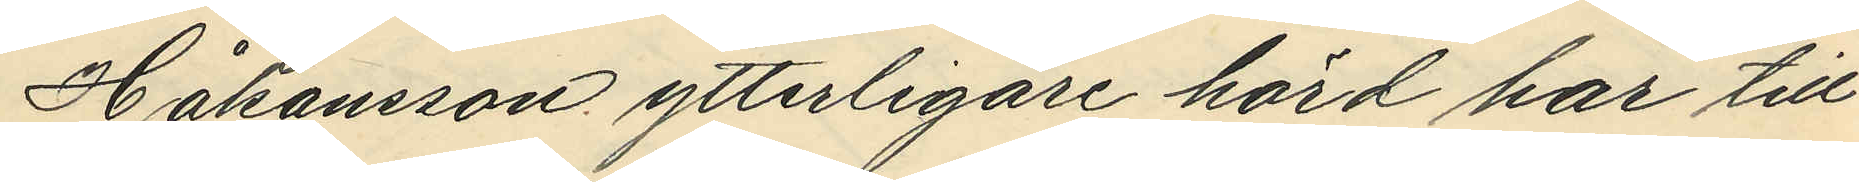Håkansson ytterligare hörd har till
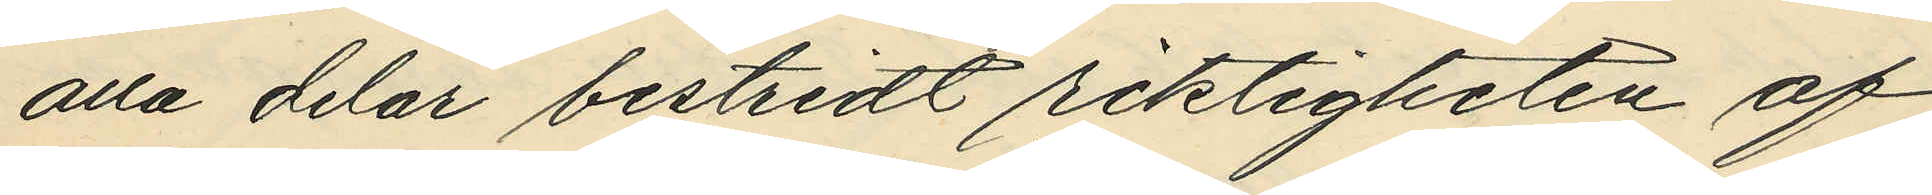alla delar bestridt riktigheten af
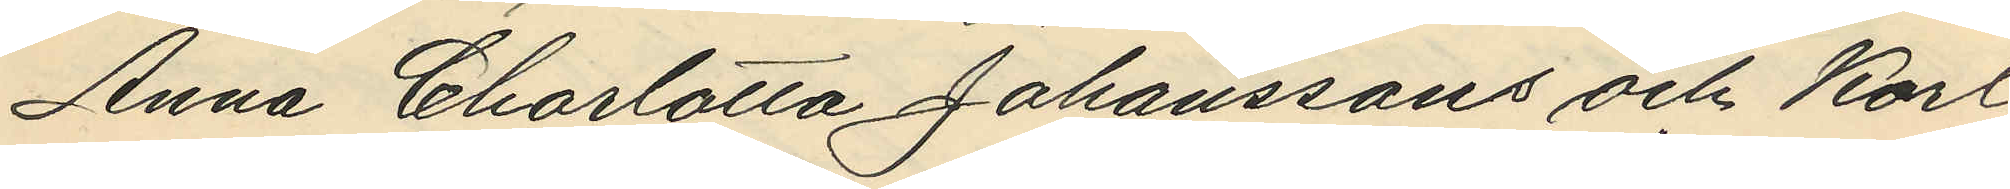Anna Charlotta Johanssons och Karl
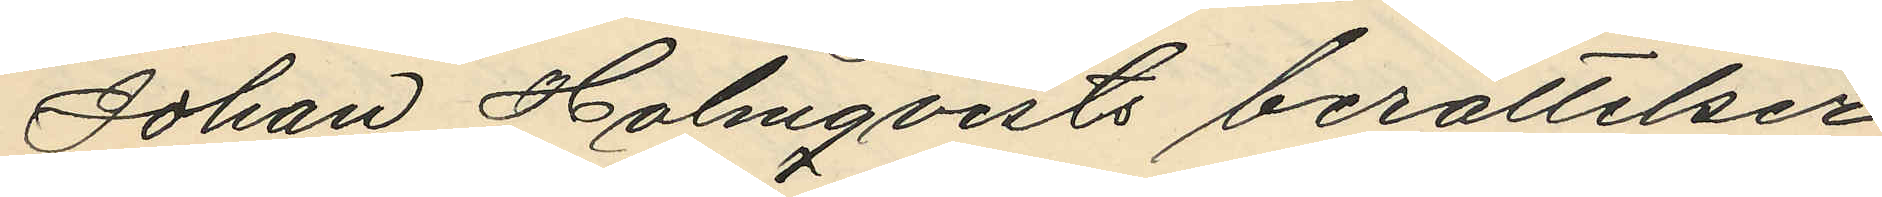Johan Holmqvists berättelser
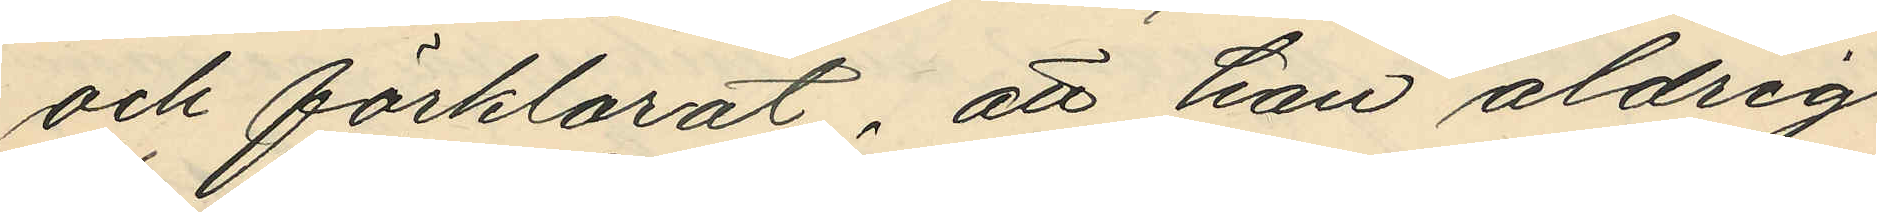och förklarat, att han aldrig
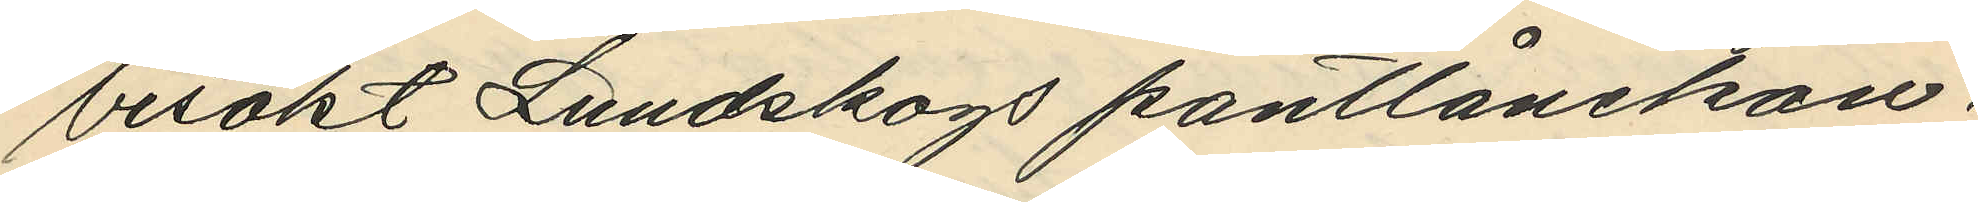besökt Lundskogs pantlånekon¬
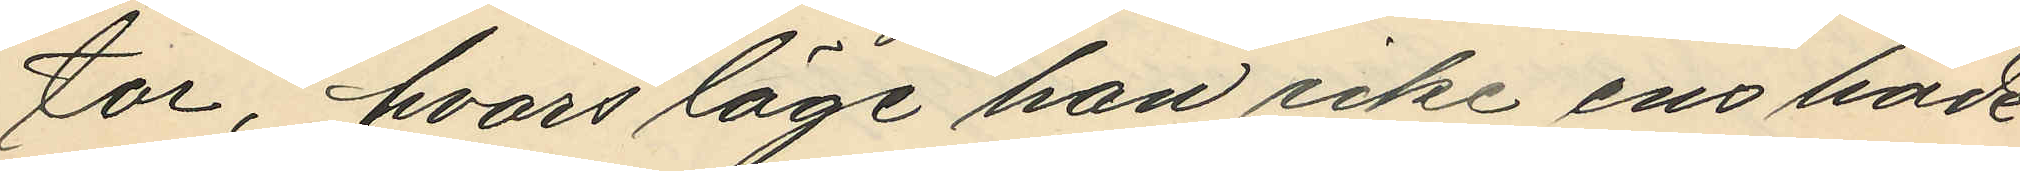tor, hvars läge han icke ens hade
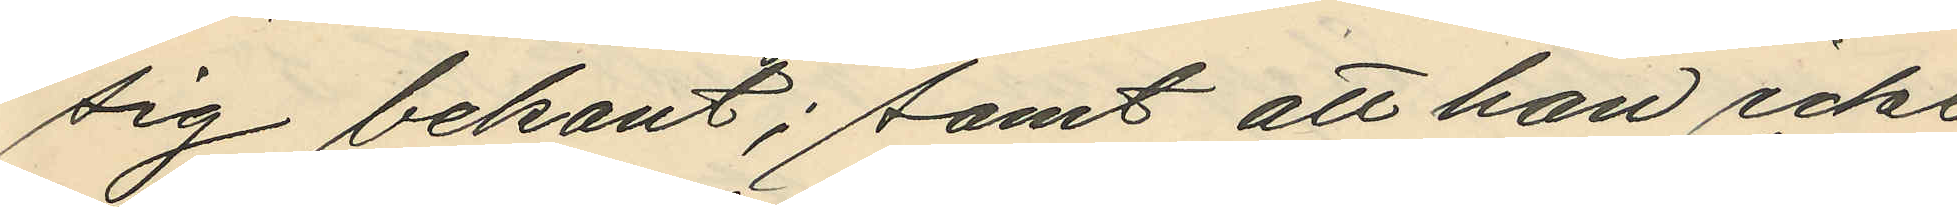sig bekant; samt att han icke
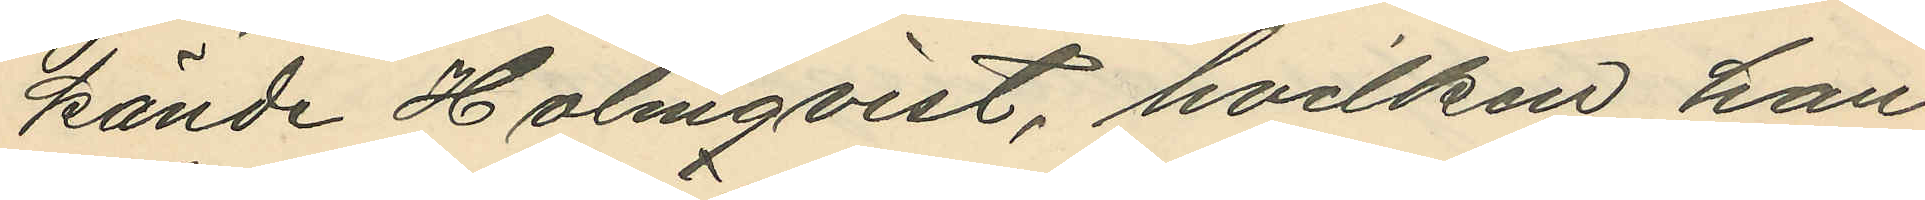kände Holmqvist, hvilken han
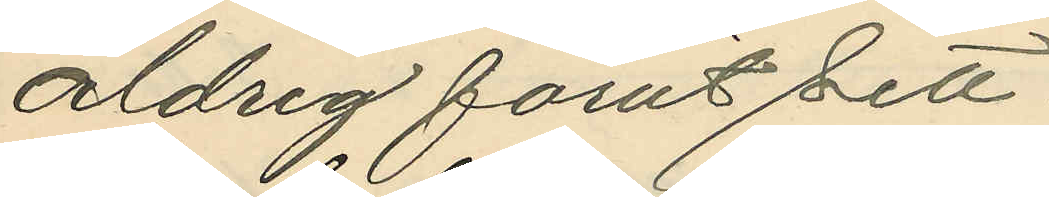aldrig förut sett.
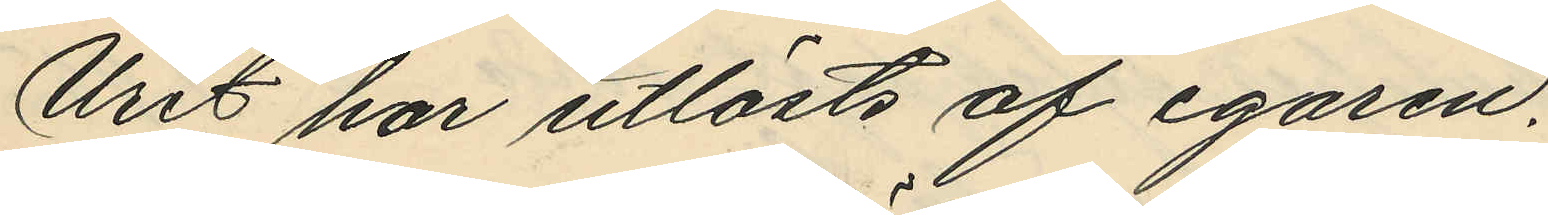Uret har utlösts af egaren.
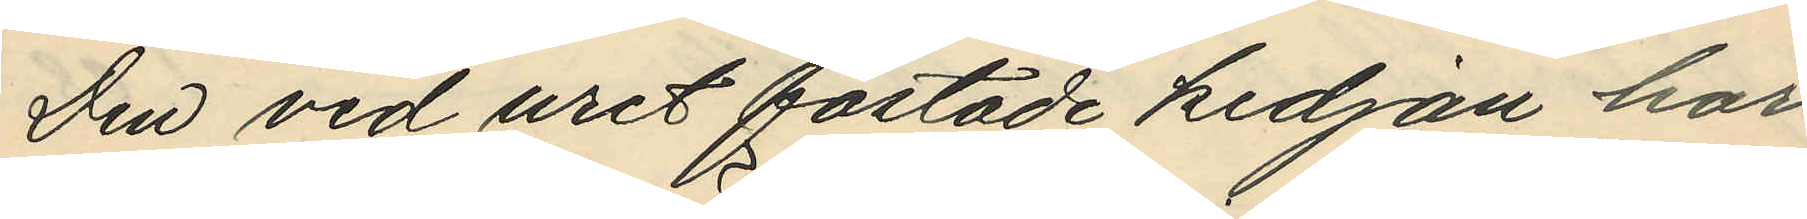Den vid uret fästade kedjan har
